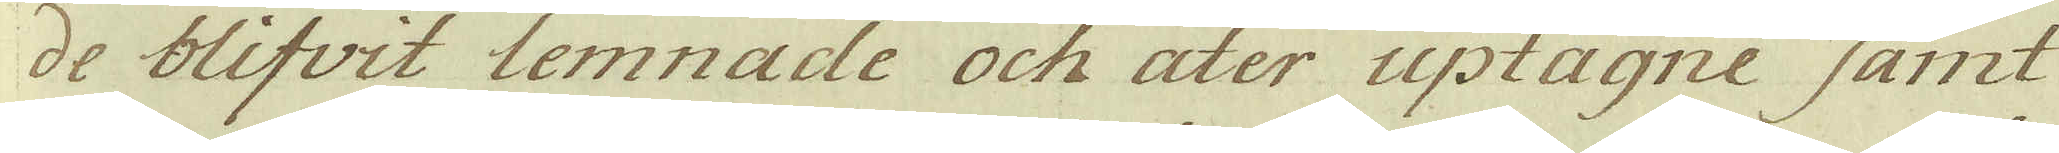de blifvit lemnade och ater uptagne samt
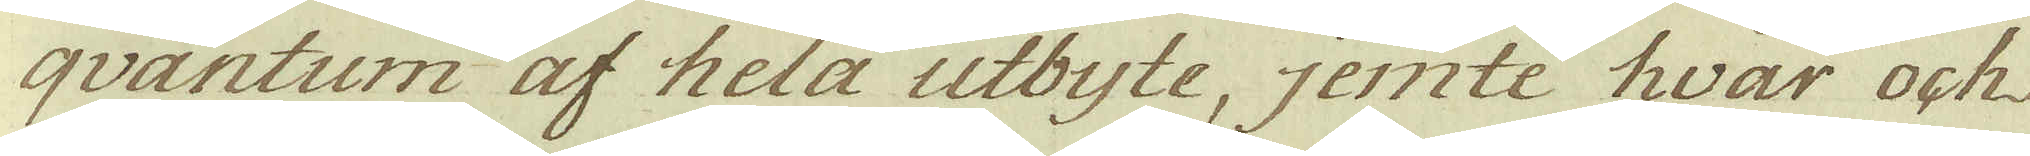qvantum af hela utbyte, jemte hwar ock
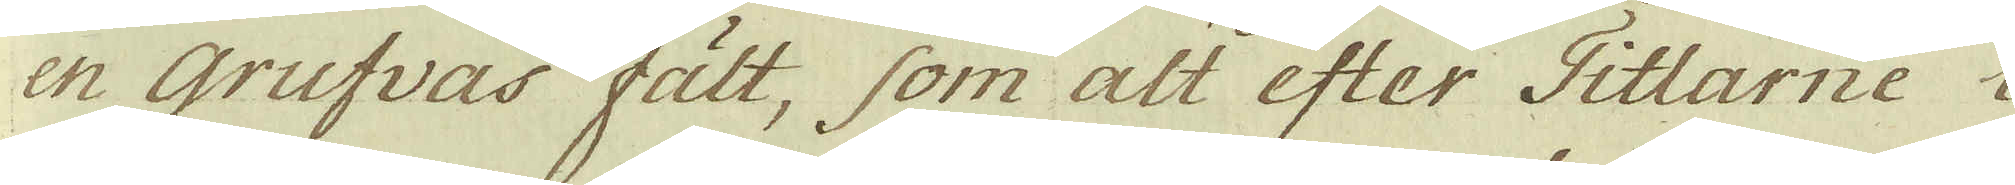en Grufvas fält, som alt efter Titlarne i
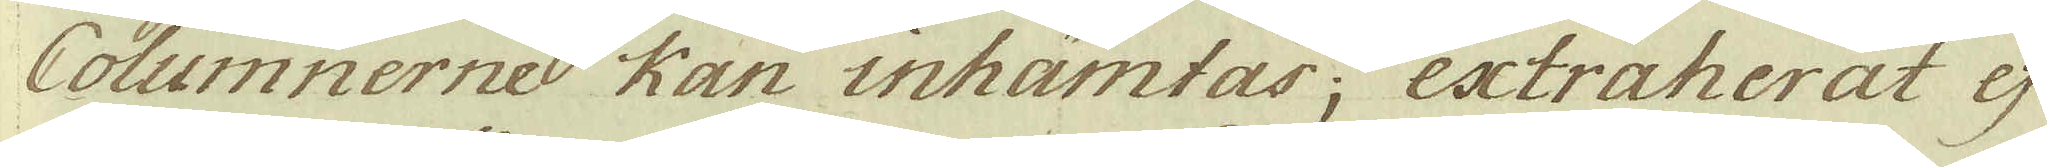Columnernes kan inhämtas; extraherat ej
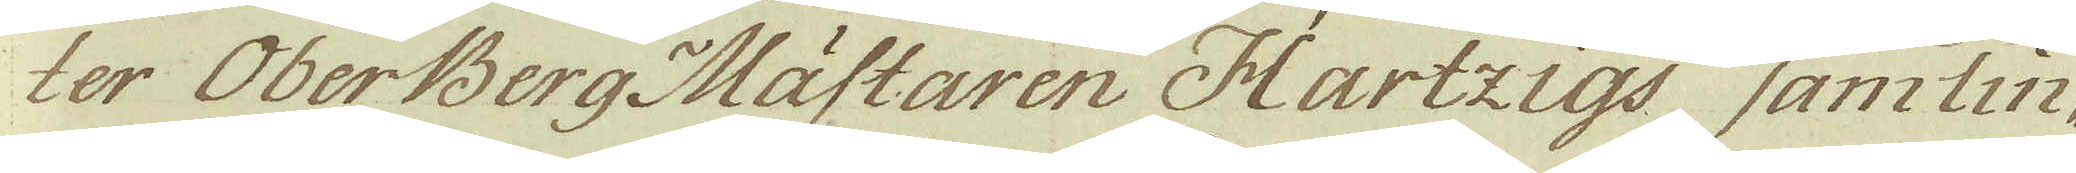ter OberBerg Mästaren Hartzigs samlin-
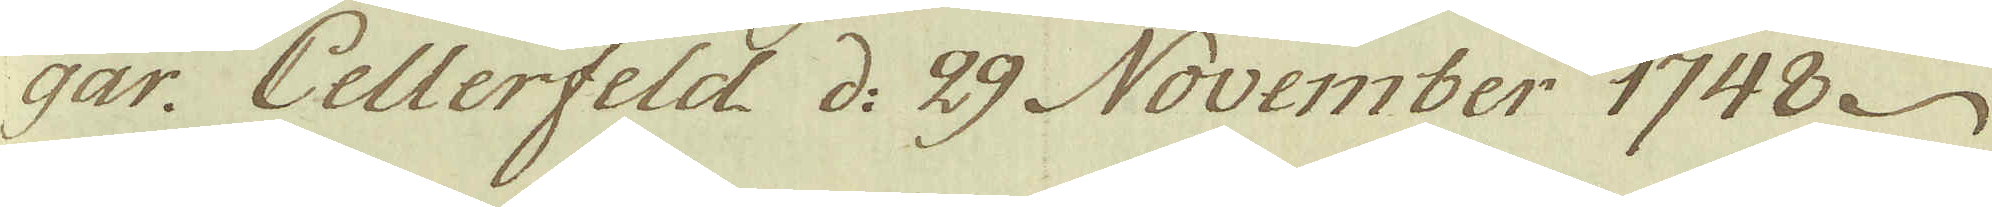gar: Cellerfeld d: 29 November 1748.
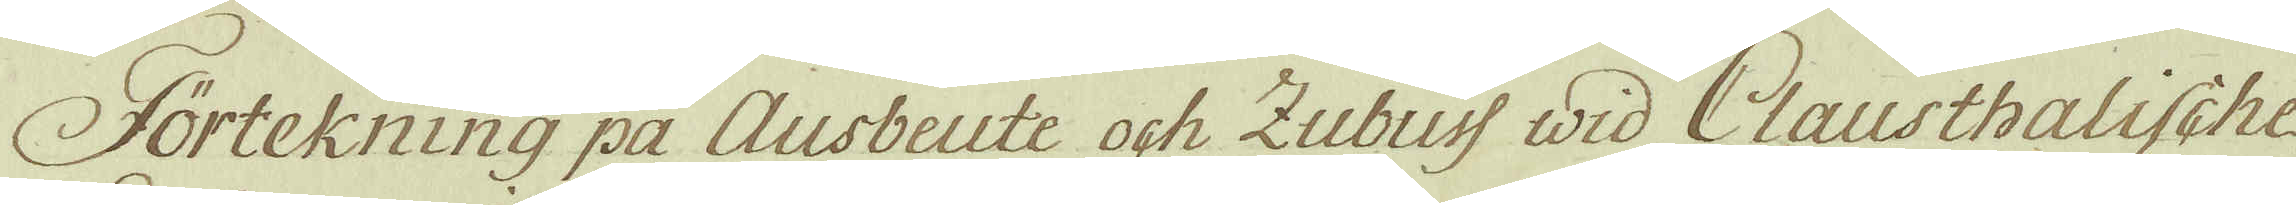Fortekning på Ausbeute och Zubuss wid Clausthalische
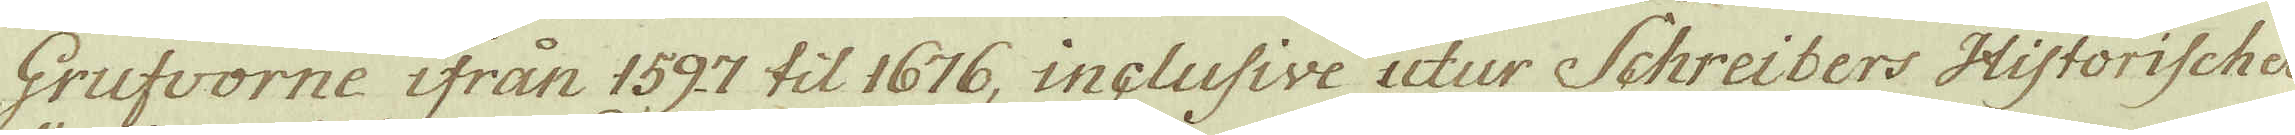Grufvorne ifrån 1597 til 1676, inclusive utur Schreibers Historische
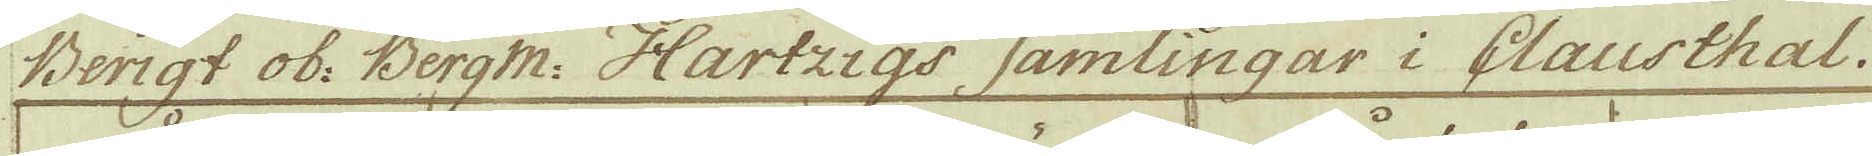Berigt ob: Bergm: Hartzigs samlingar i Clausthal.
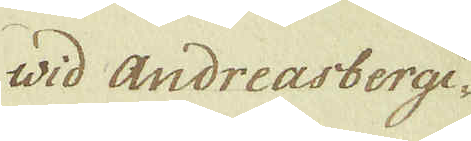wid andreasbergi-
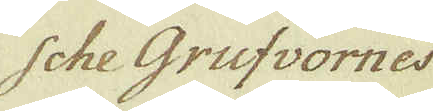sche grufvornes
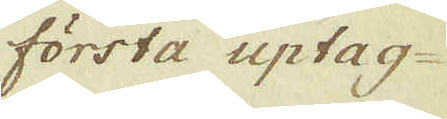första uptag-
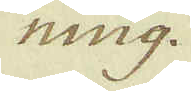ning.
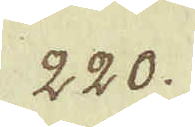220.
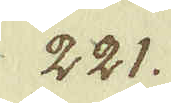221.
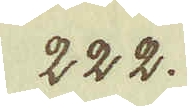222.
